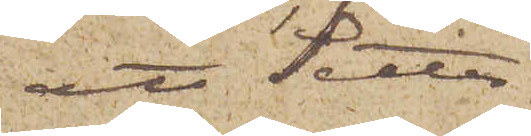att Setter¬
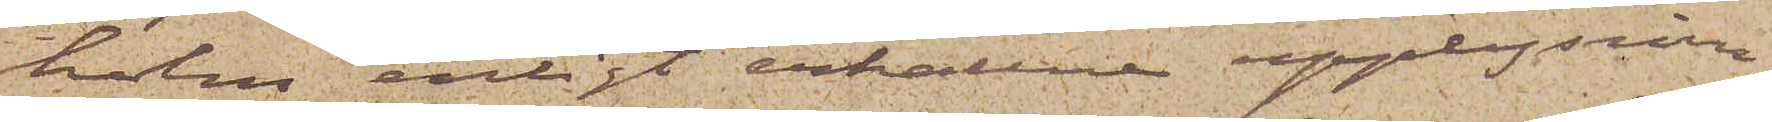holm enligt erhållne upplysnin¬
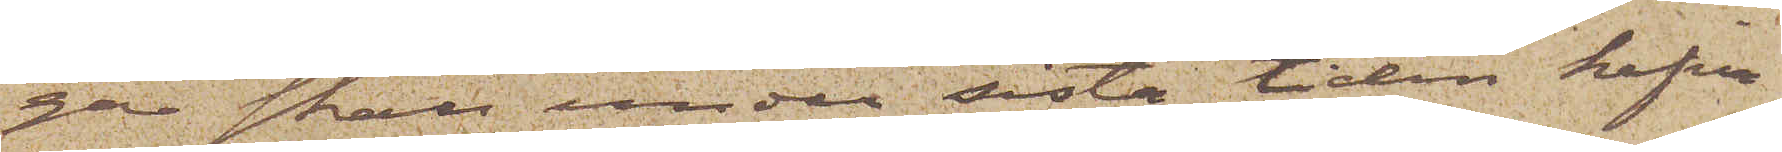gar skall under sista tiden hafva
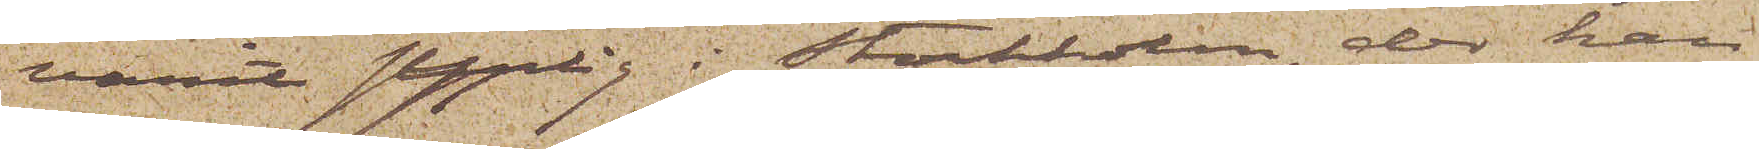varit synlig i Stockholm, der han
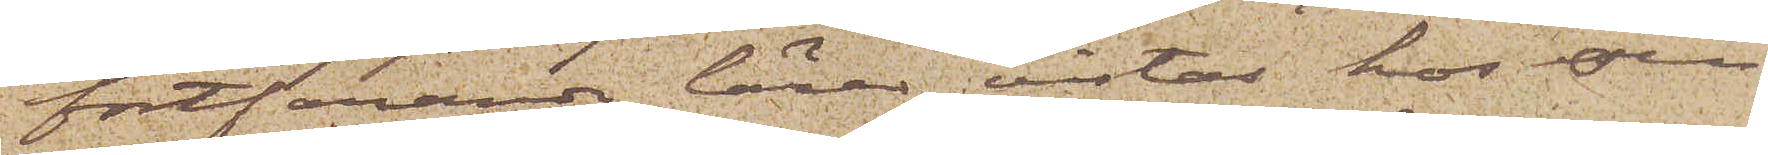fortfarande lärer vistas hos sin
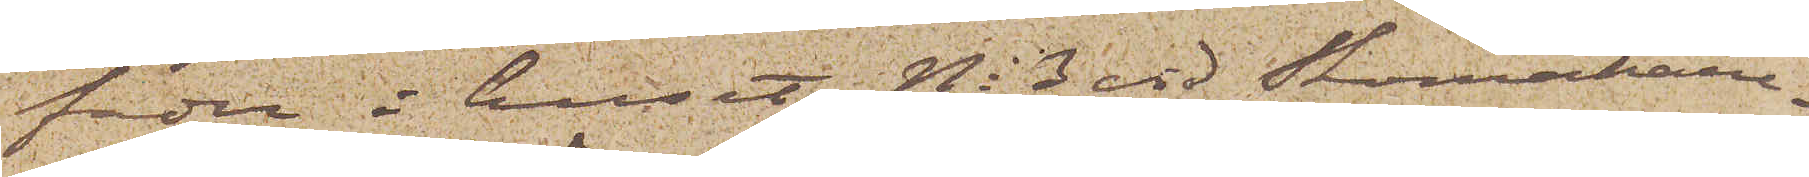fader i huset No 3 vid Skomakare¬
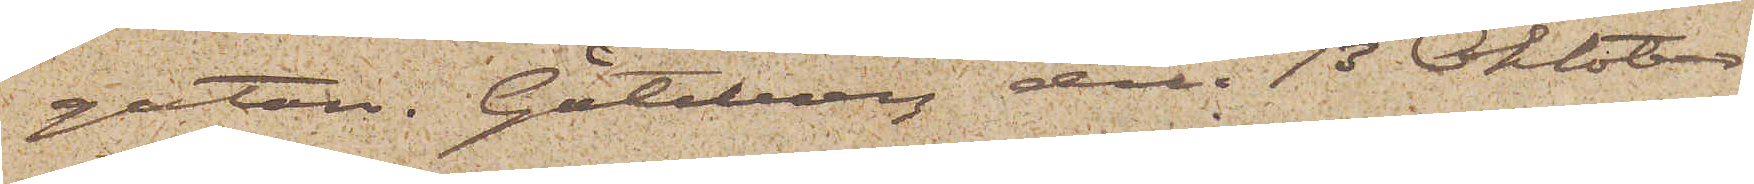gatan. Göteborg den 13 Oktober
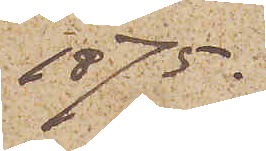1875.
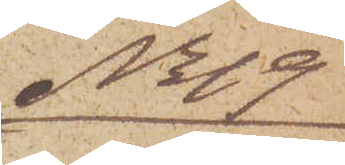No 19
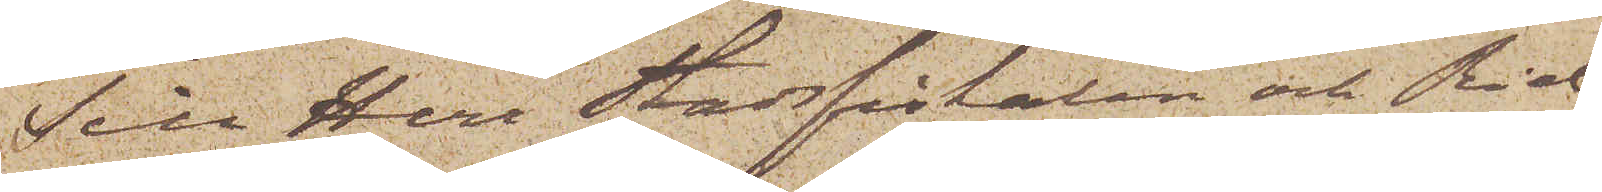Till Herr Stadsfiskalen och Rid¬
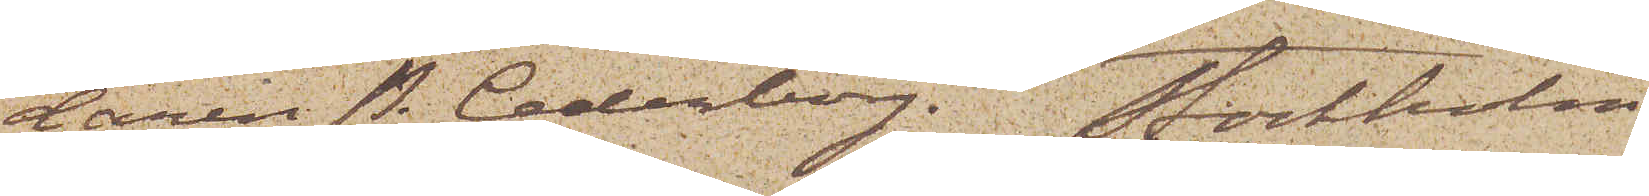daren P. Cederborg. Stockholm
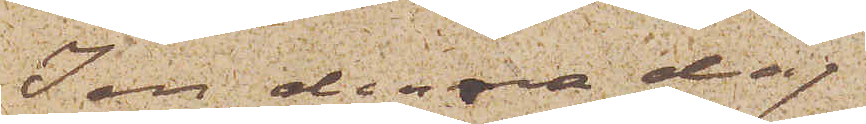I en denna dag
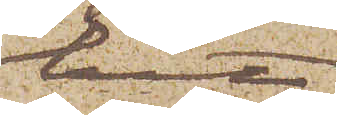hit
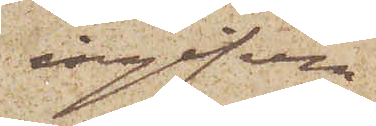ingifven
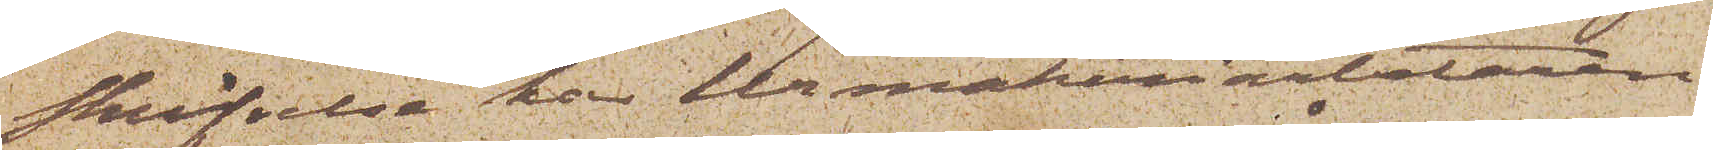Skrifvelse har Urmakeriarbetaren
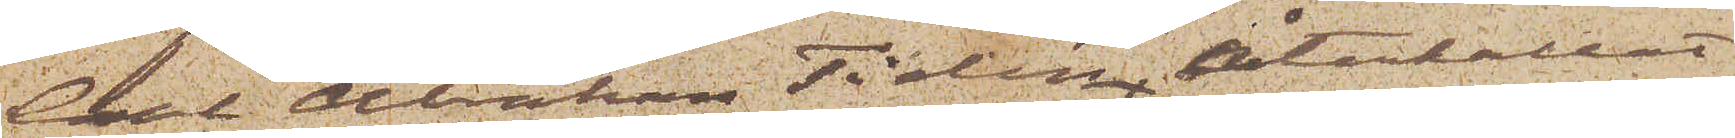Carl Abraham Tidén återkallat
